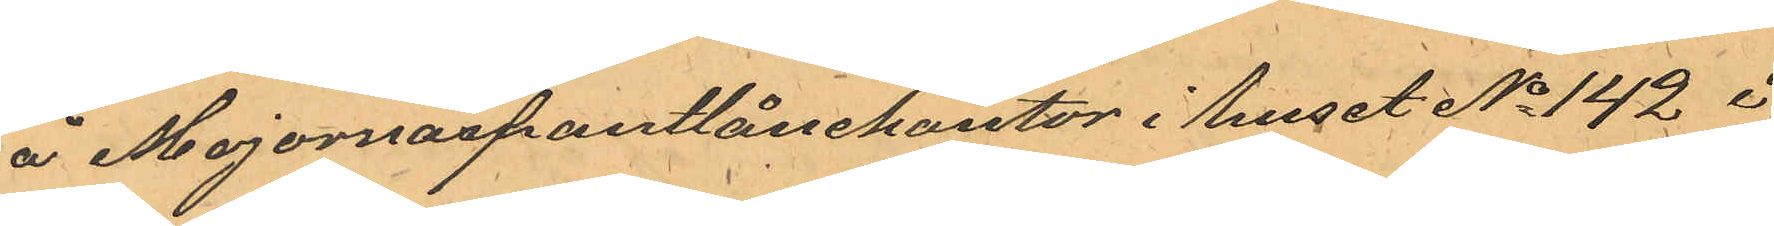å Majornaspantlånekontor i huset No 142 i
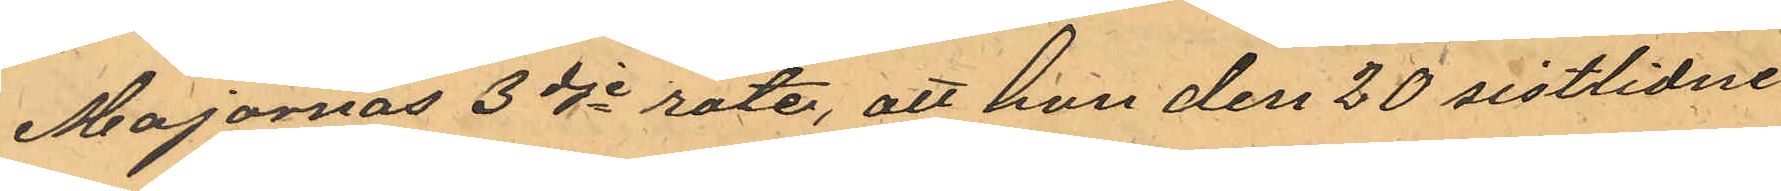Majornas 3dje rote, att hon den 20 sistlidne 
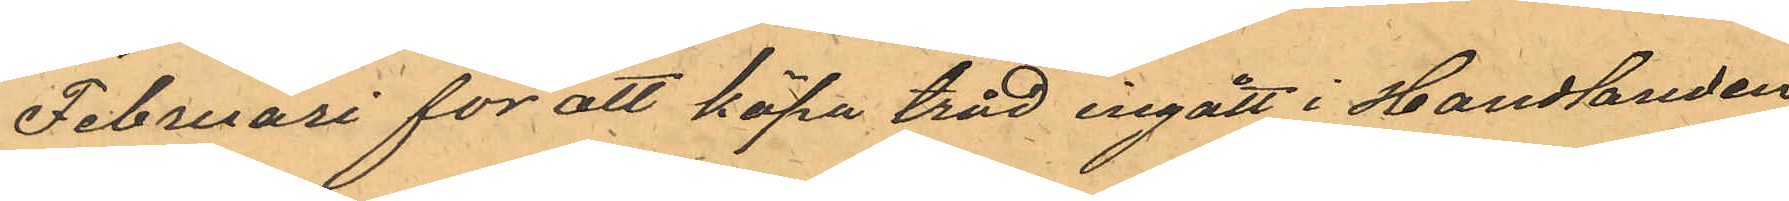Februari för att köpa tråd ingått i Handlanden
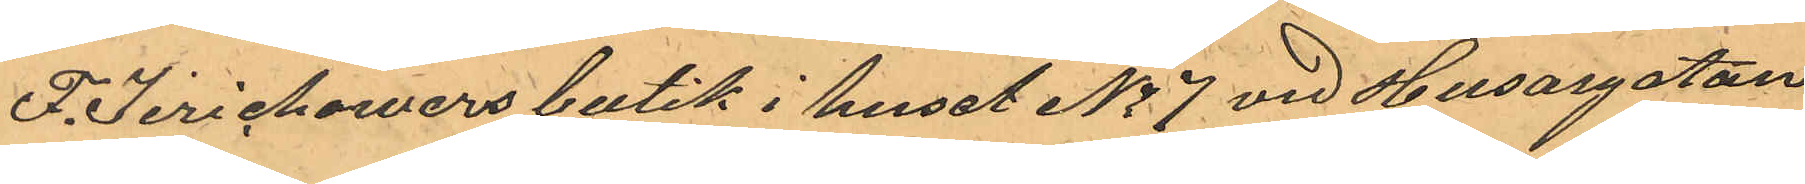F. Jerichowers butik i huset No 7 vid Husargatan
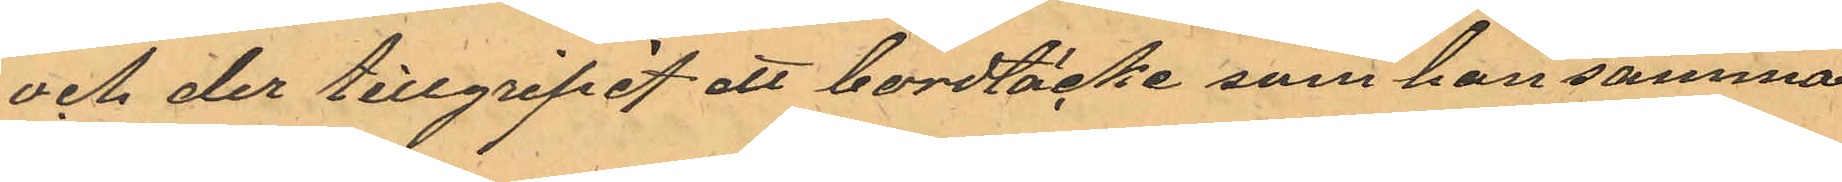och der tillgripit ett bordtäcke som hon samma
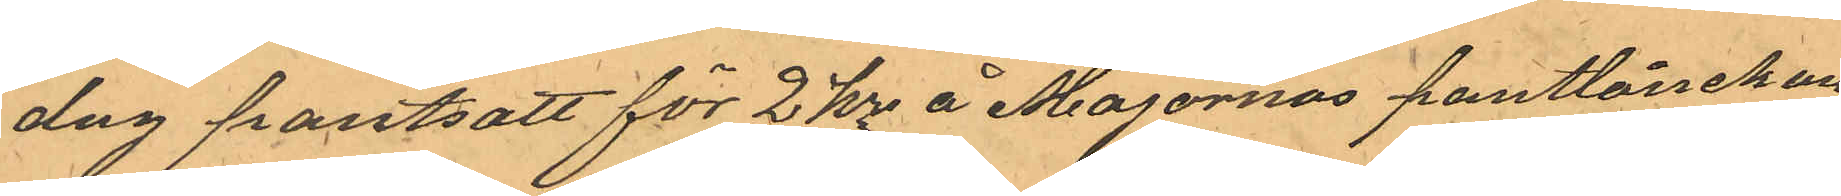dag pantsatt för 2 kr å Majornas pantlånekon¬
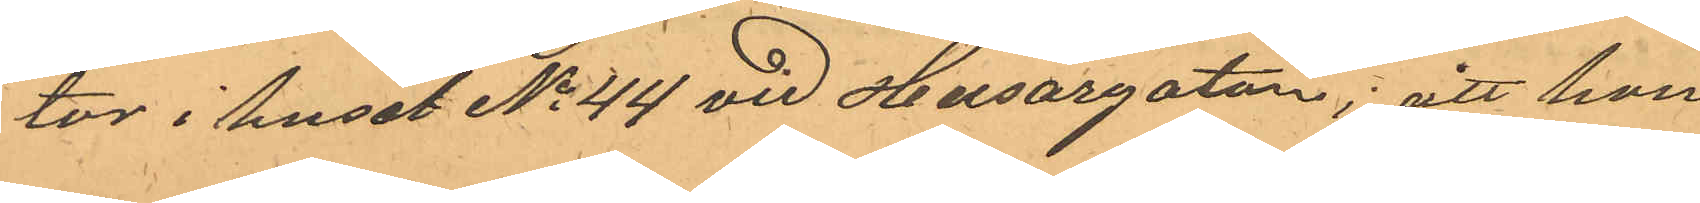tor i huset No 144 vid Husargatan; att hon
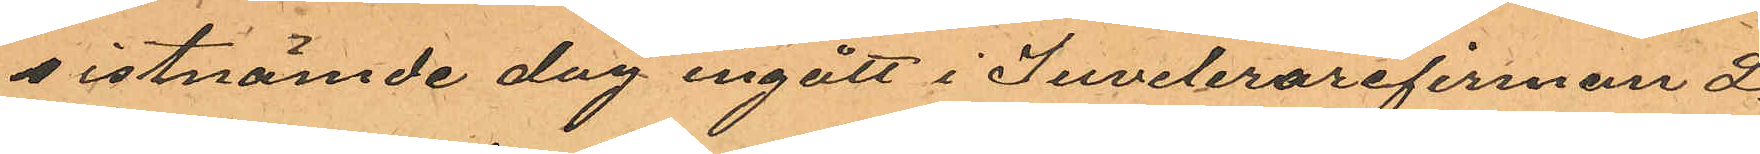sistnämde dag ingått i Juvelerarefirman L.
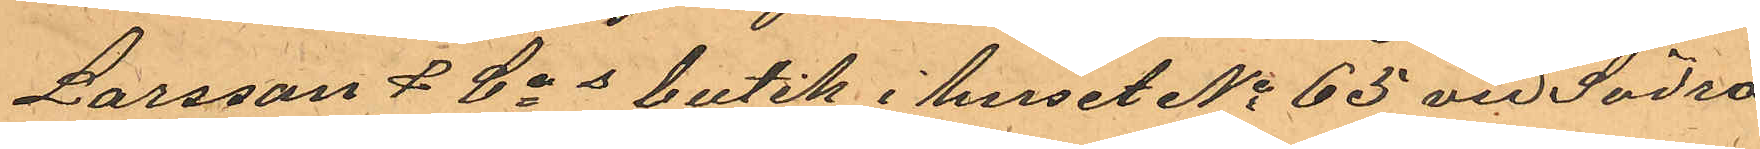Larsson & Cos butik i huset No 65 vid Södra 
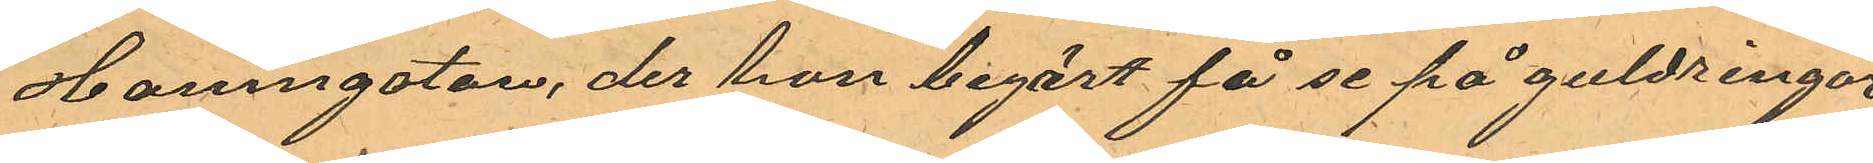Hamngatan, der hon begärt att få se på guldringar
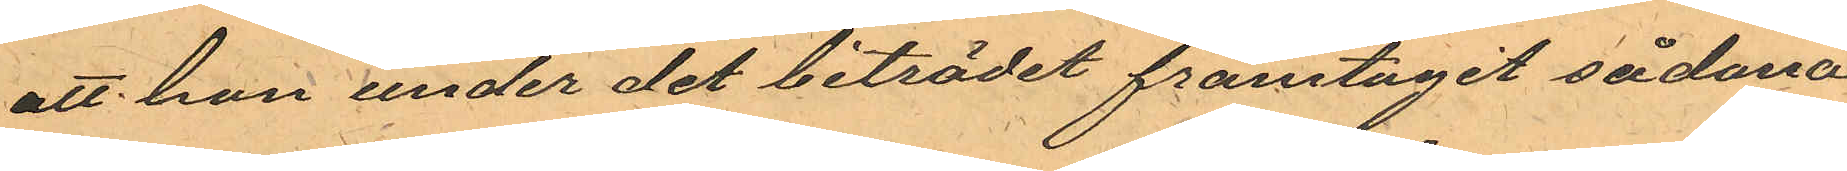att hon undet det biträder framtagit sådana
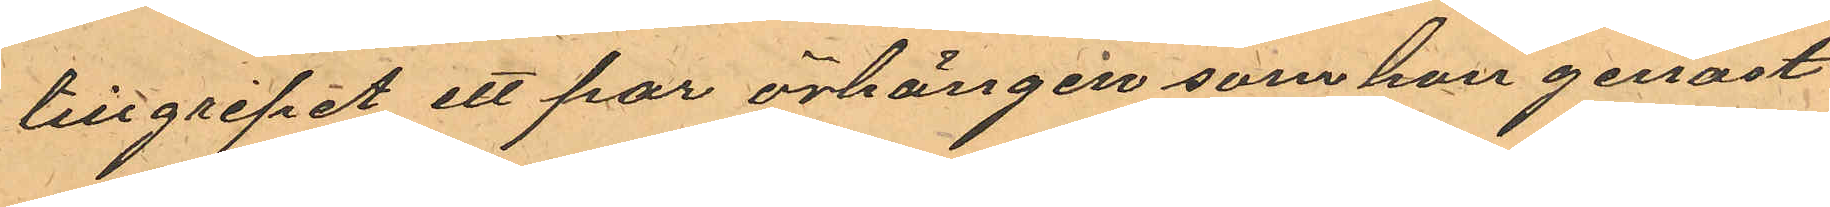tillgripit ett par örhängen som hon genast 
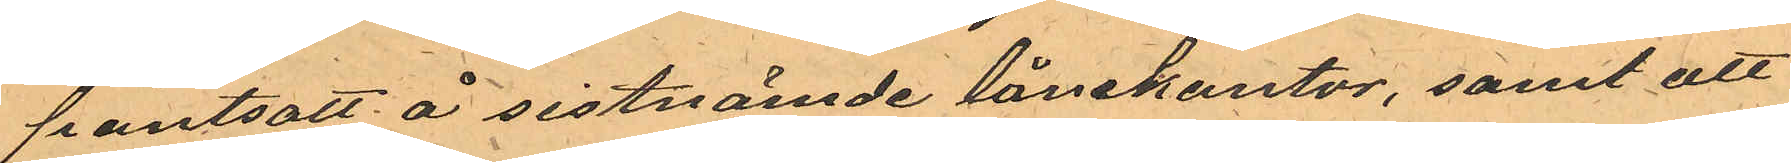pantsatt å sistnämde lånekontor, samt att
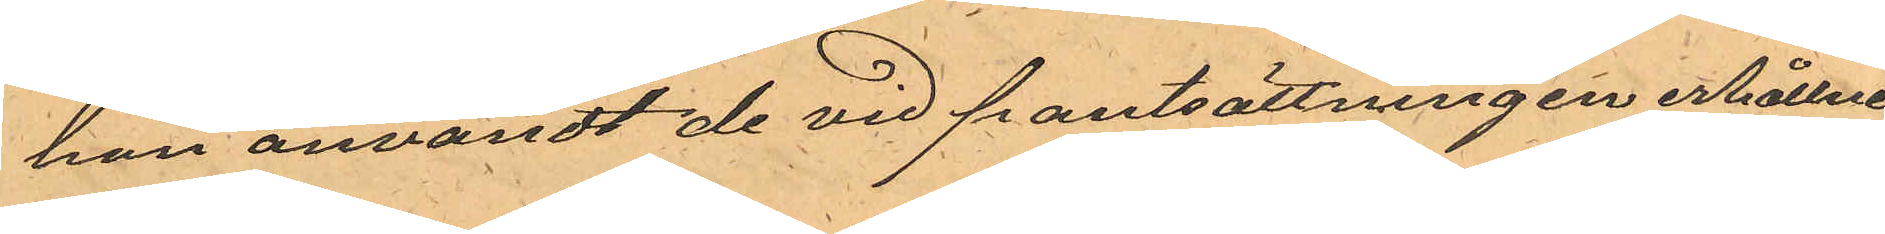hon användt de vid pantsättningen erhållne
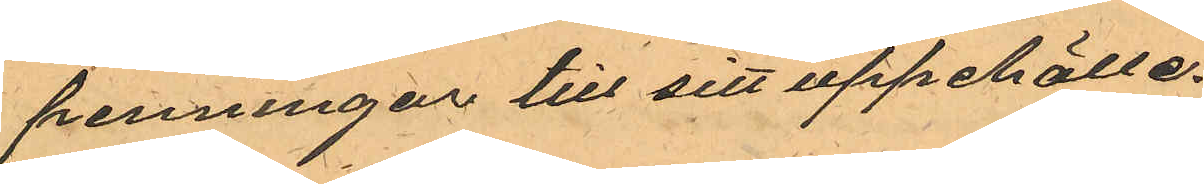penningar till sitt uppehälle.
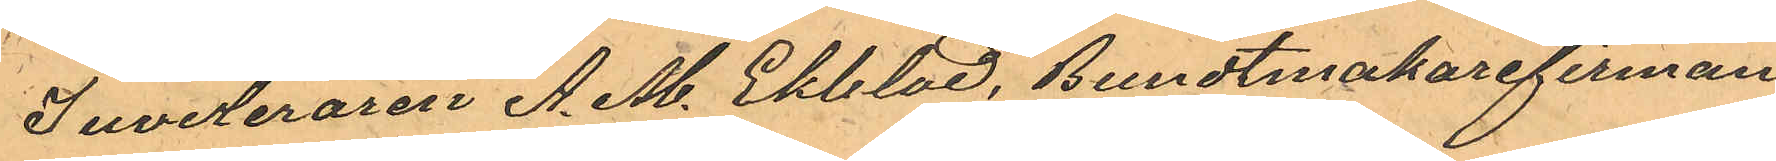Juveleraren A. M. Ekblad, Bundtmakarefirman
